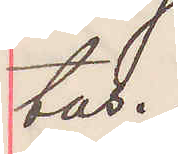tas.
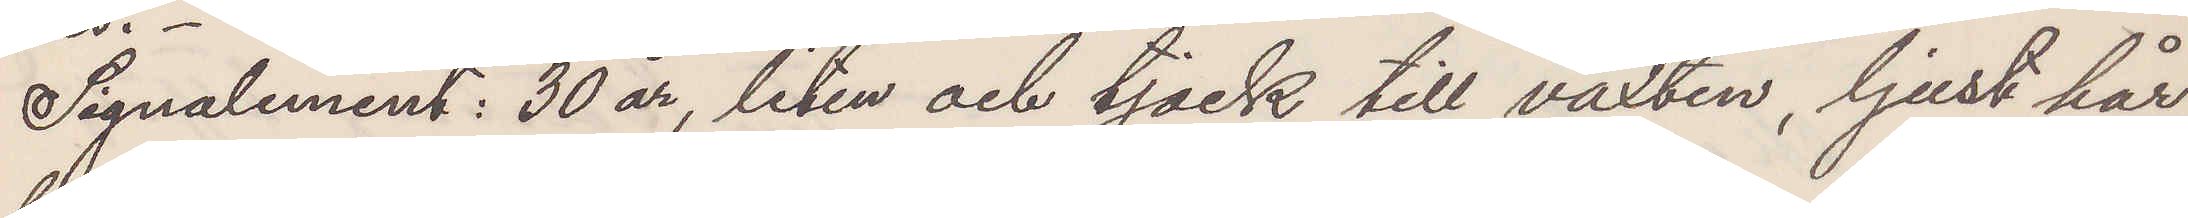Signalement: 30 år, liten och tjock till växten, ljust hår
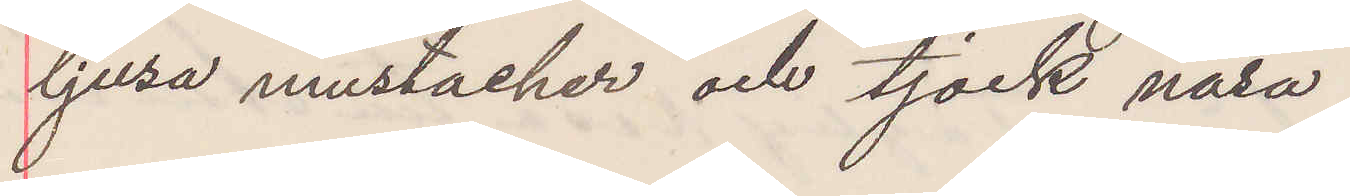ljusa mustacher och tjock näsa
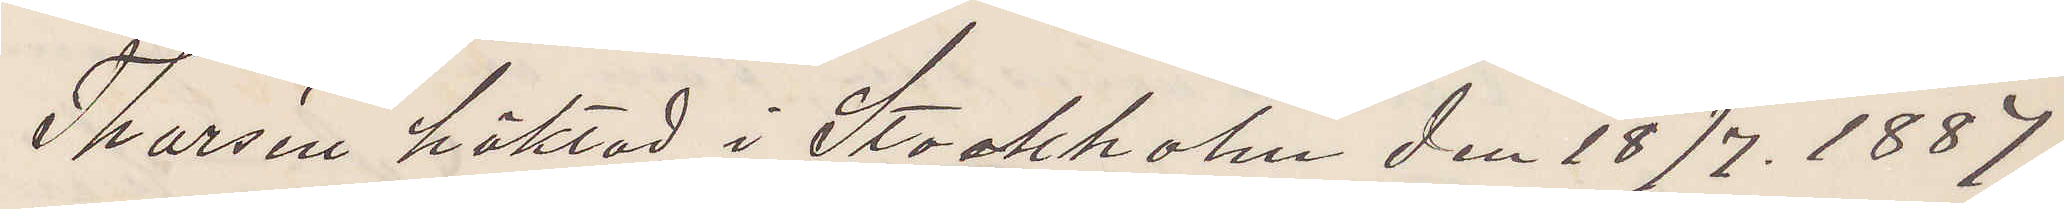Thorsén häktad i Stockholm den 18/7. 1887.
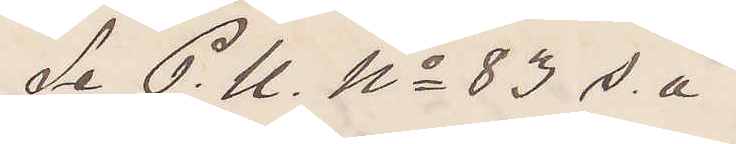Se P. U. No 83 s. å
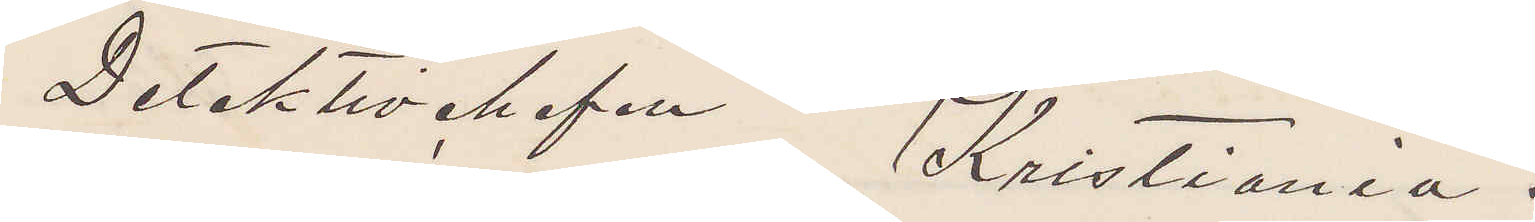Detektivchefen Kristiania.
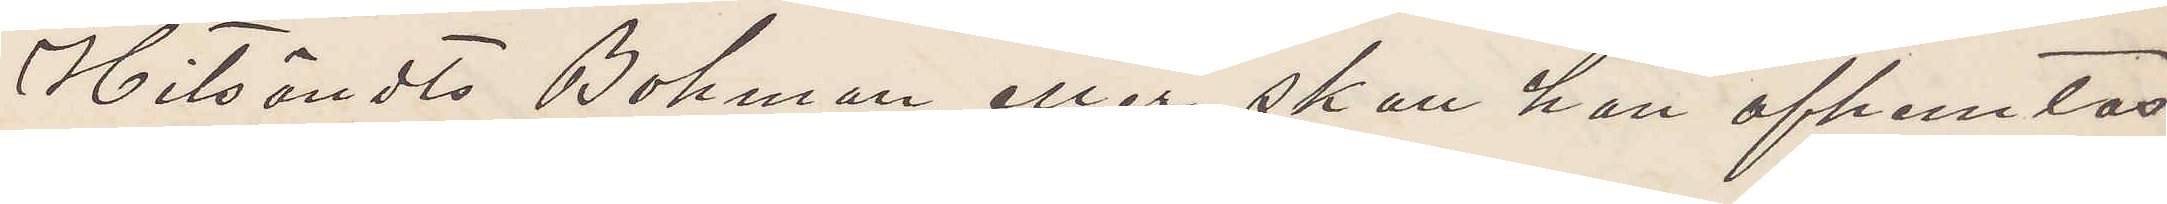Hitsändts Bohman eller skall han afhemtas
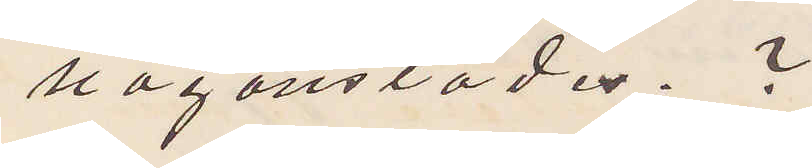någonstädes.?
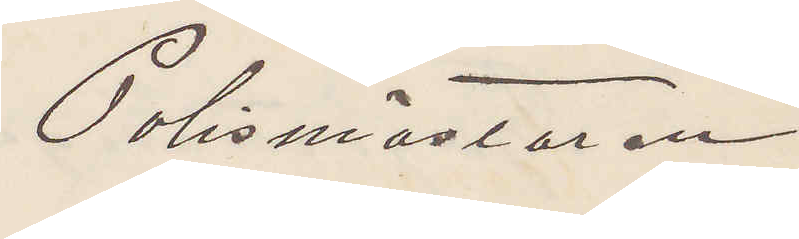Polismästaren
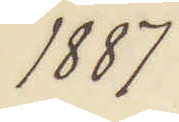1887
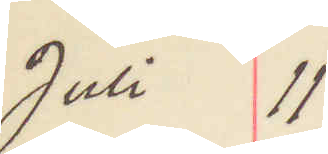Juli 11
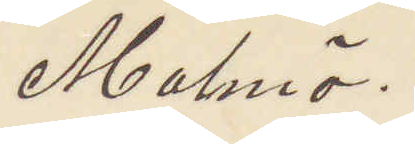Malmö.
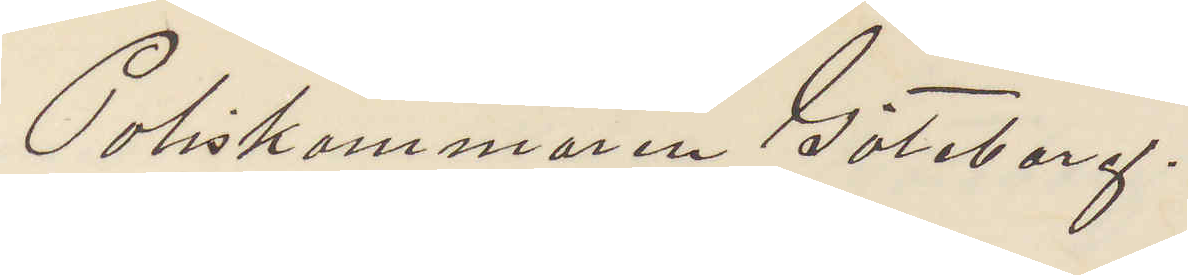Poliskammaren Göteborg.
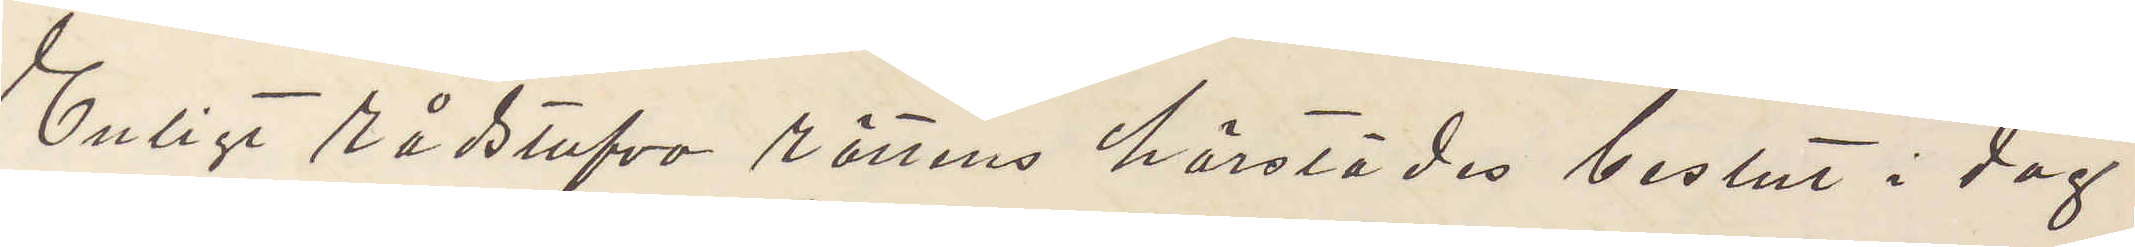Enligt rådstufve rättens härstädes beslut i dag
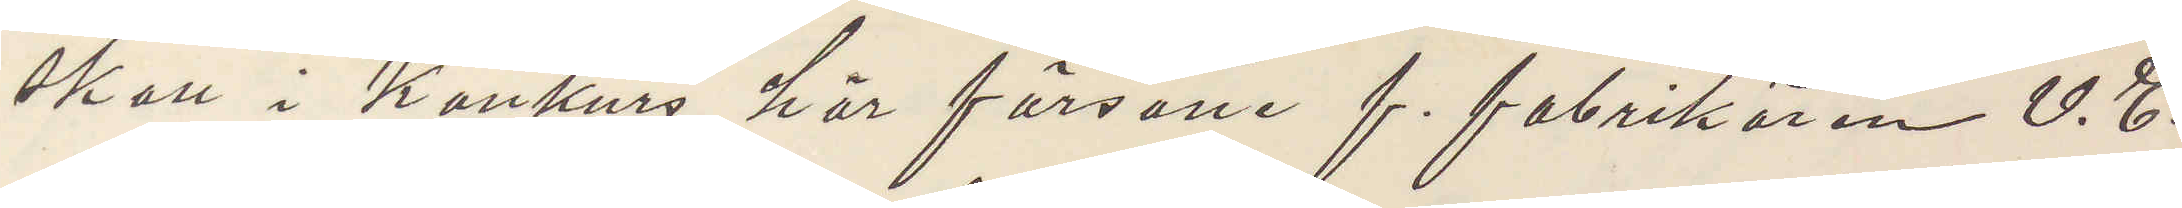skall i Konkurs här försatte f. fabrikören V. E.
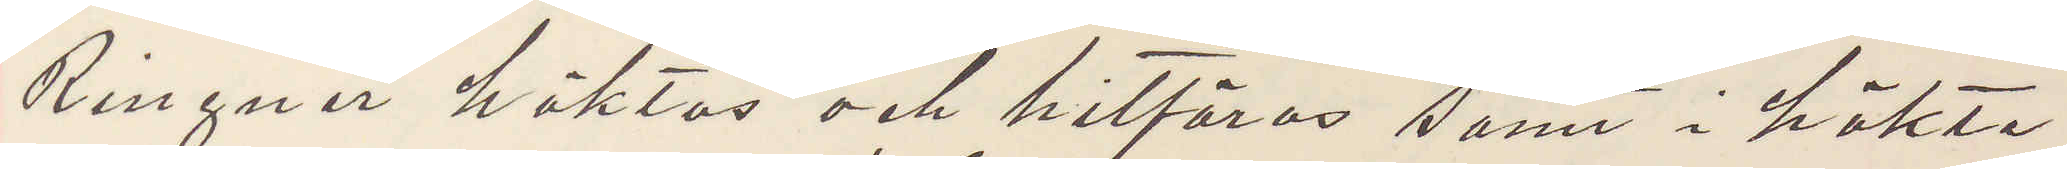Ringnér häktas och hitföras samt i häkte
